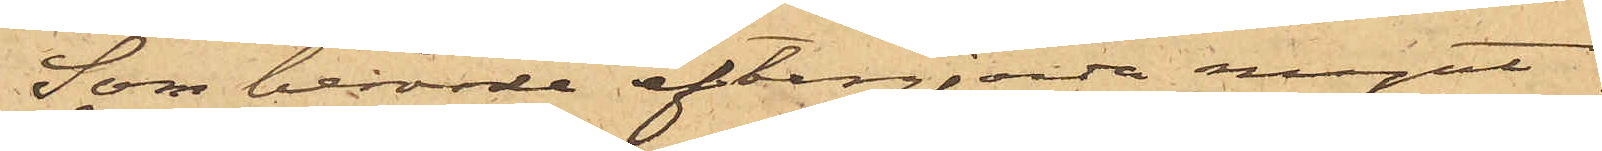Som berörde eftergjorda mynt
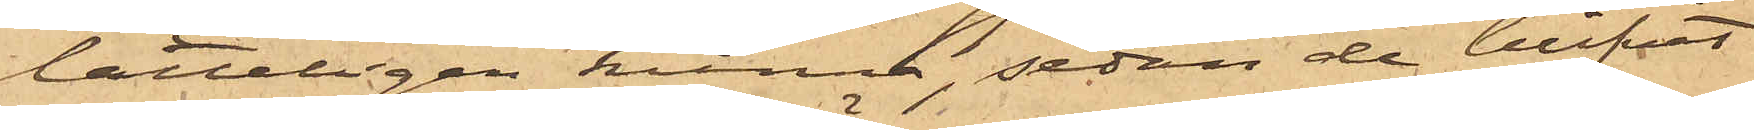lätteligen kunna, sedan de blifvit
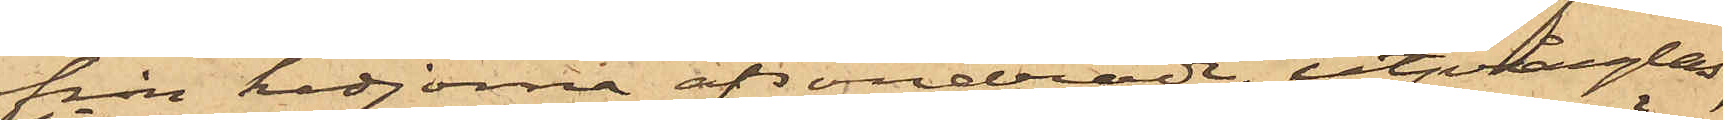från kedjorna afsöndrade, utprånglas,
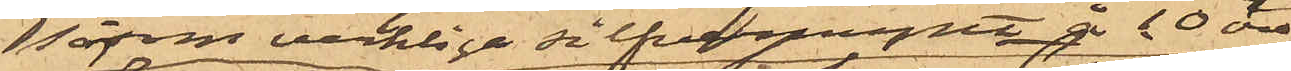såsom verkliga silfvermynt å 10 öre
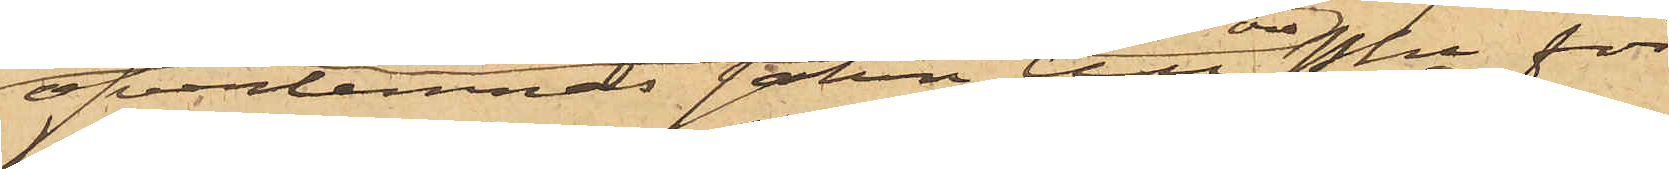öfverlemnas saken till Pkn för
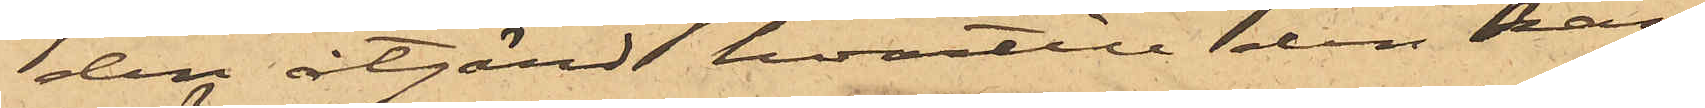den åtgärd hvartill den kan
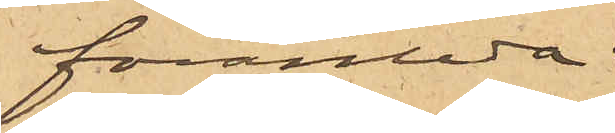föranleda.
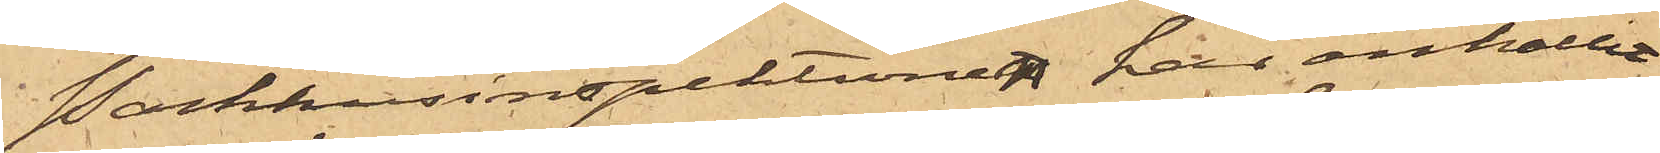Packhusinspektionen har anhållit
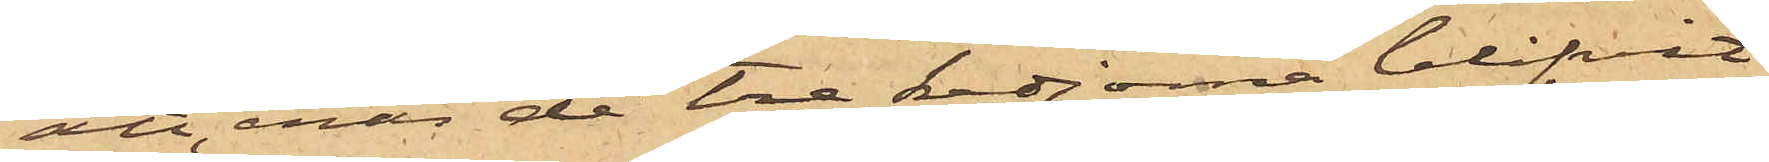att, enär de tre kedjorna blifvit
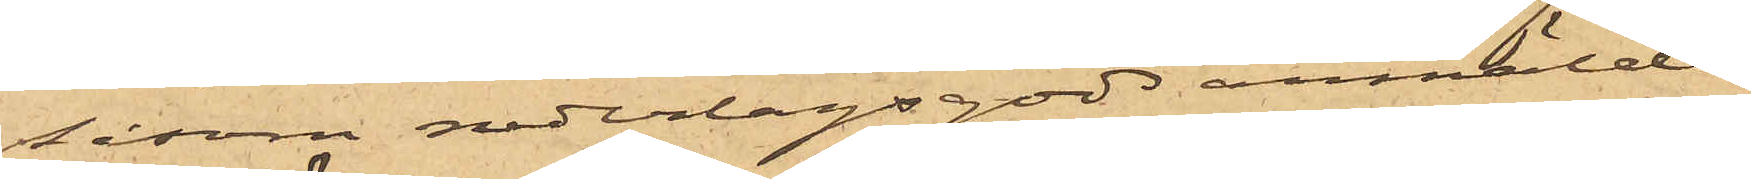såsom nederlagsgods anmälde,
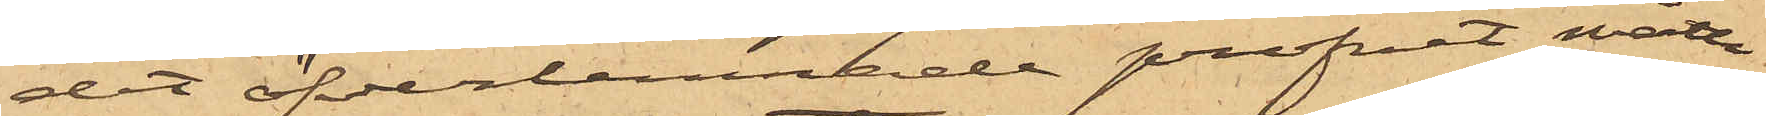det öfverlemnade profvet måtte
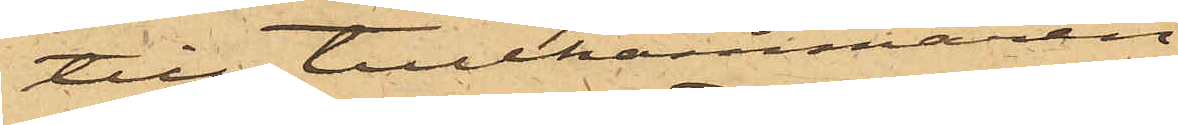till tullkammaren
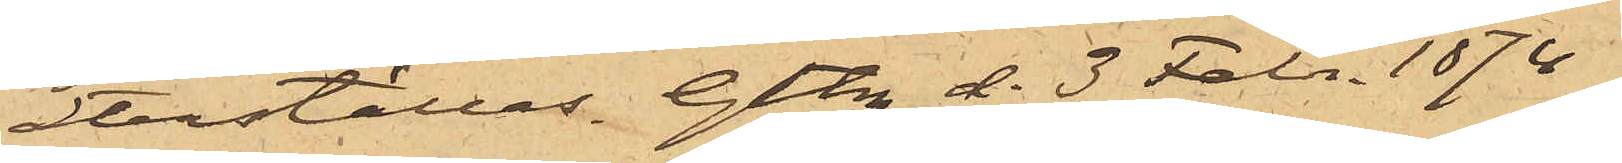återställas. Gtbrg d. 3 Febr. 1874.
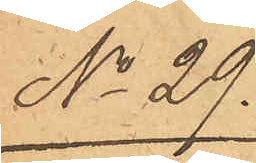No 29.
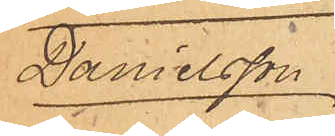Danielsson
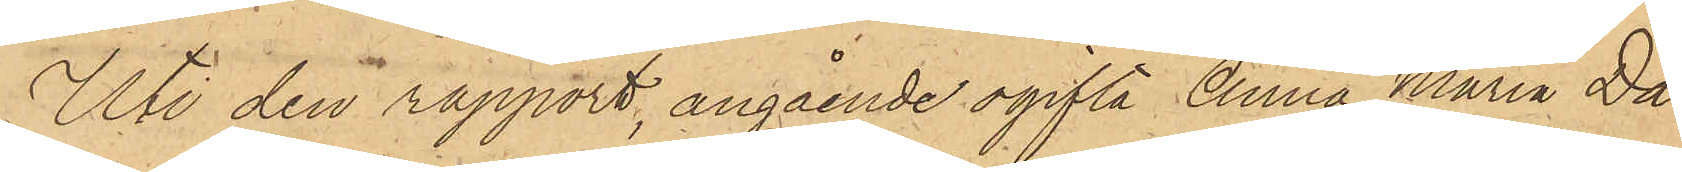Uti den rapport, angående ogifta Anna Maria Da¬
